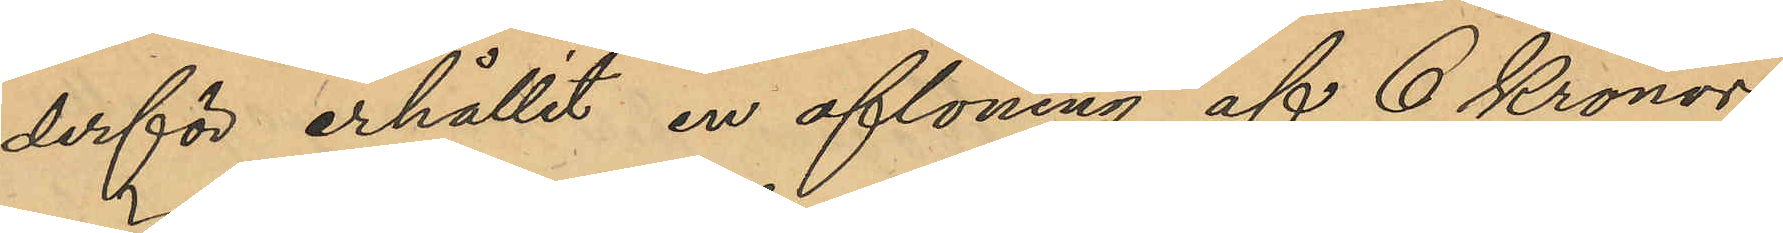derför erhållit en aflöning af 6 Kronor
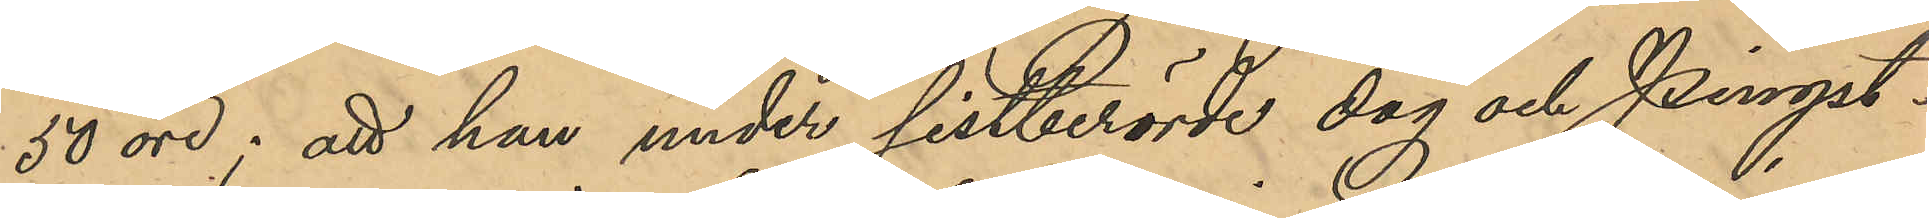50 öre; att han under sistberörde dag och Pingst¬
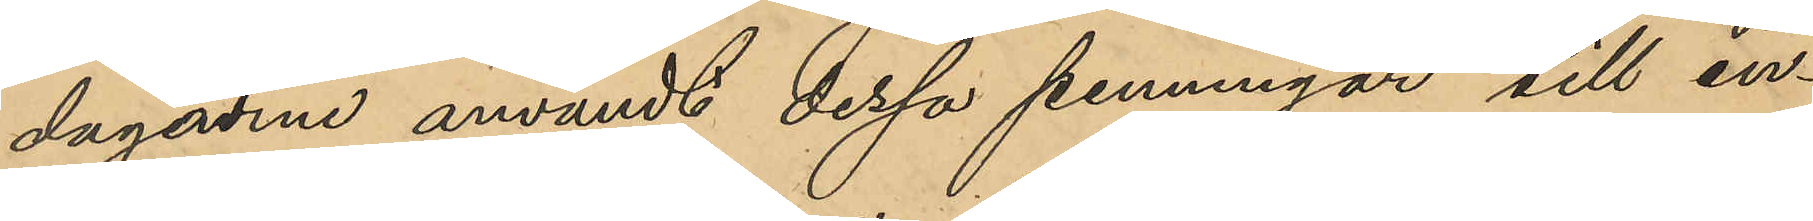dagarna användt dessa penningar till in¬
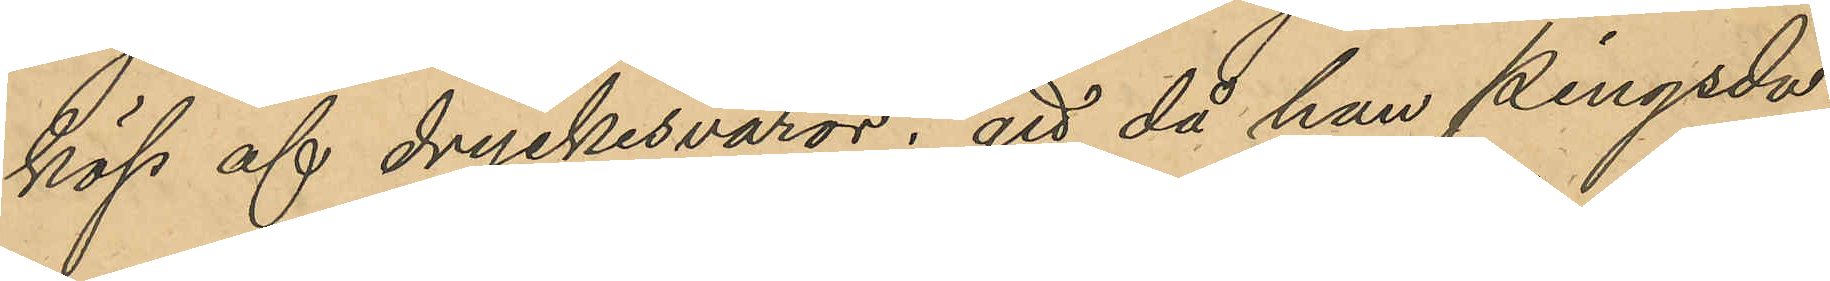köp af dryckesvaror; att då han Pingstda¬
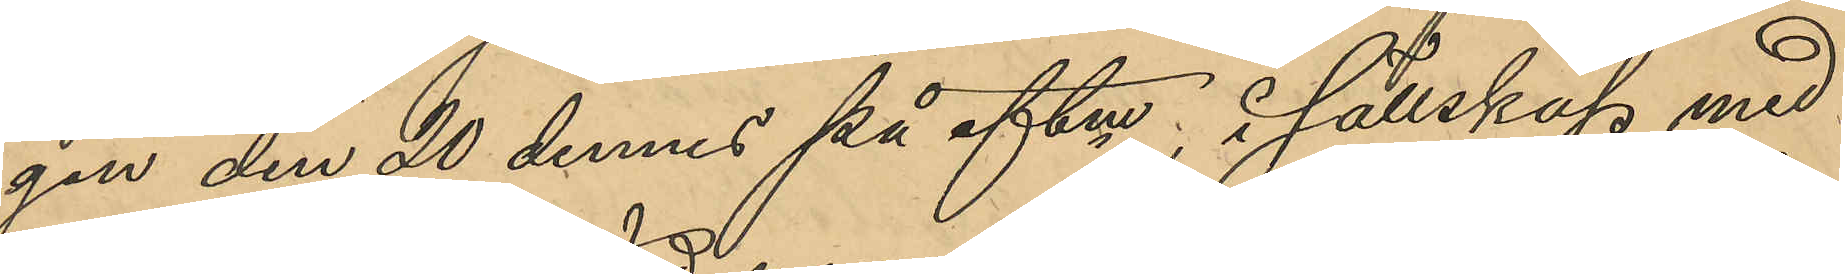gen den 20 dennes på eftm, i sällskap med
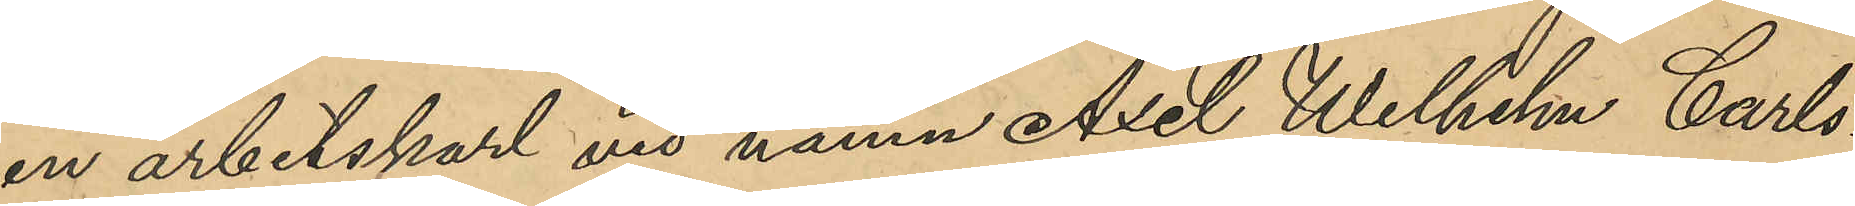en arbetskarl vid namn Axel Wilhelm Carls¬
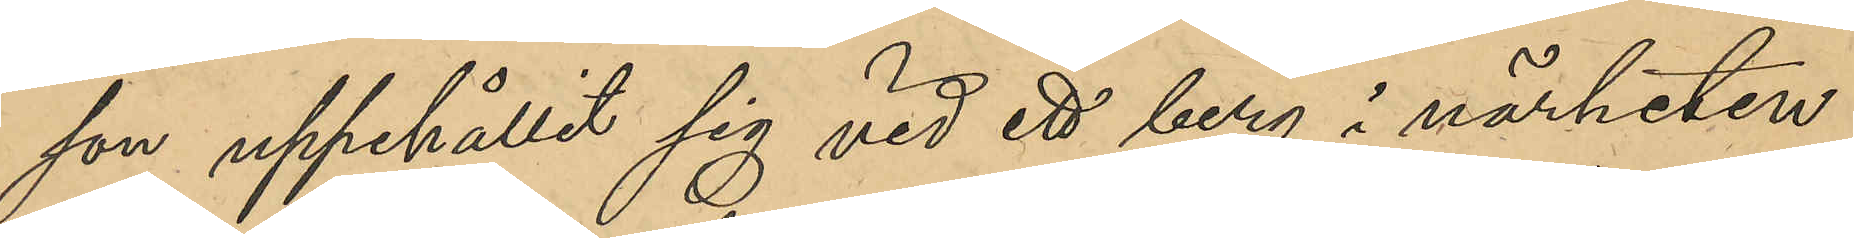son uppehållit sig vid ett berg i närheten
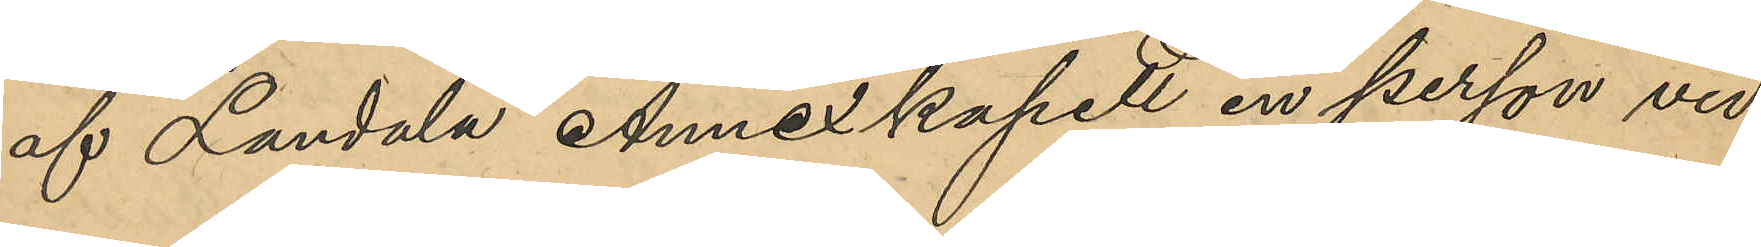af Landala Annexkapell en person vid
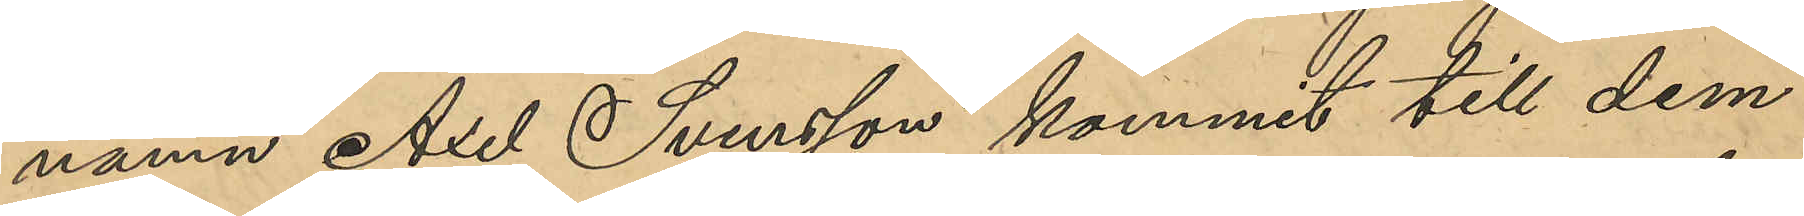namn Axel Svensson kommit till dem
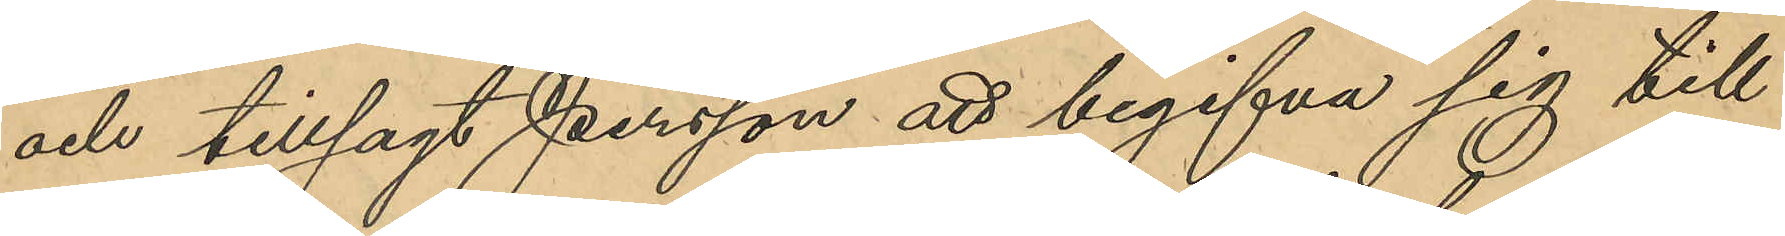och tillsagt Persson att begifva sig till
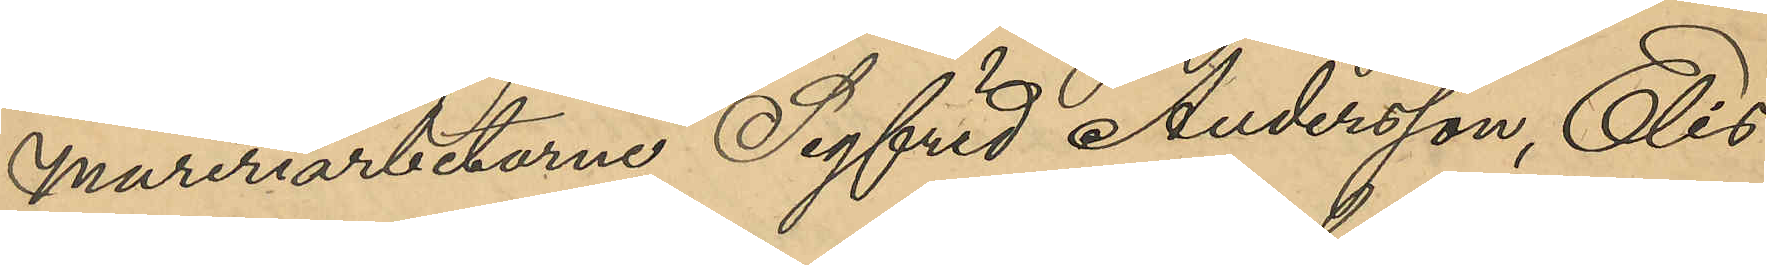mureriarbetarne Sigfrid Andersson Elis
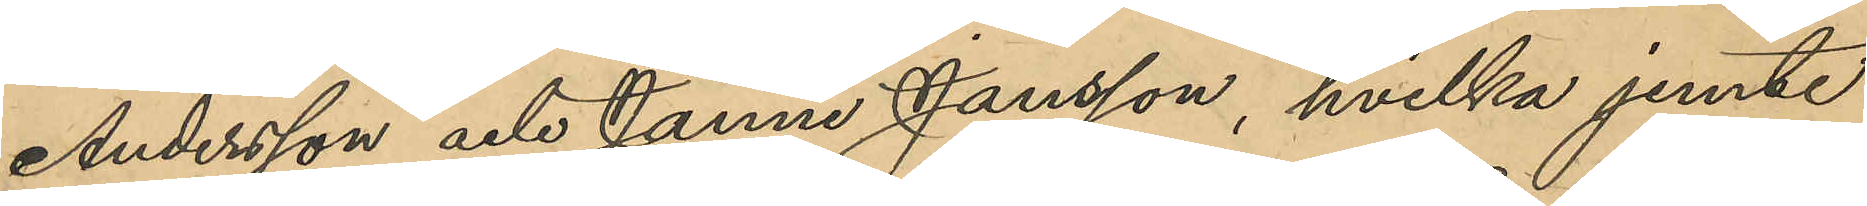Andersson och Janne Jansson, hvilka jemte
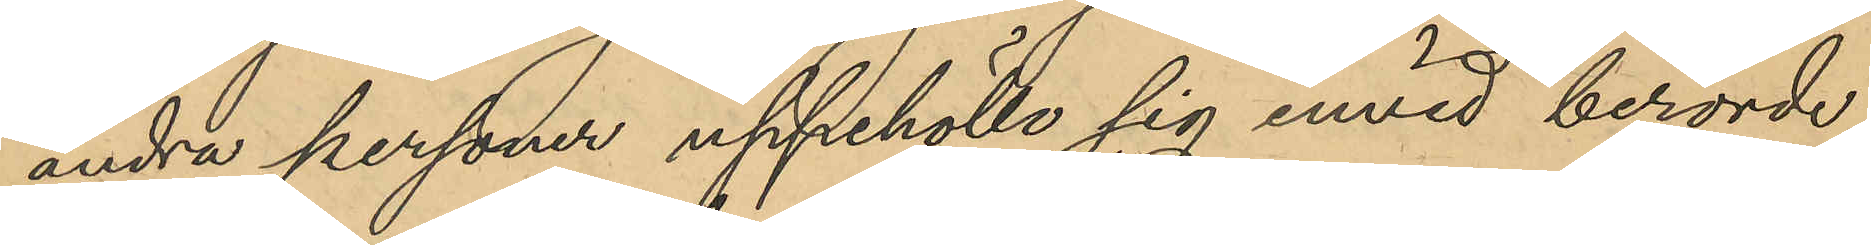andra personer uppehöllo sig invid berörde
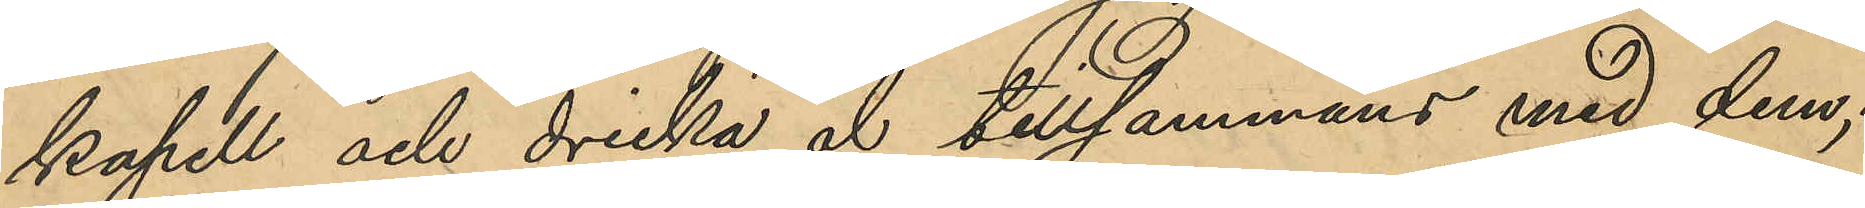kapell och dricka öl tillsammans med dem;
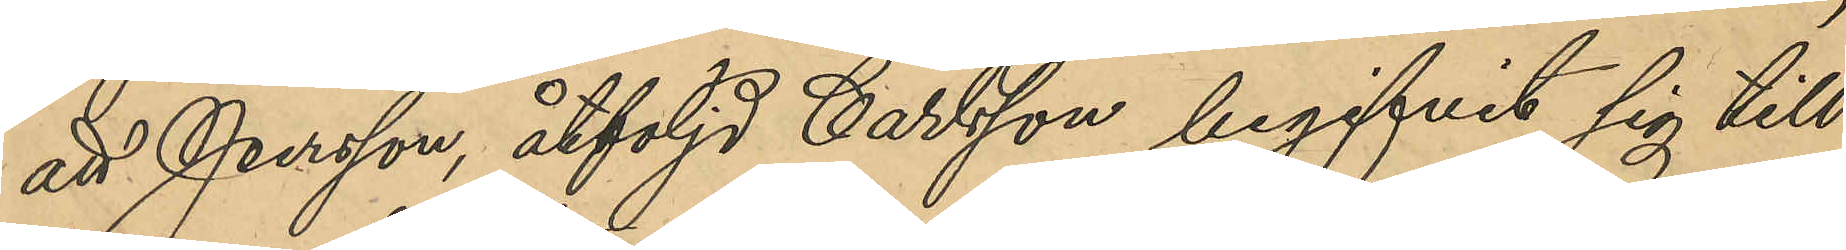att Persson åtföljd Carlsson begifvit sig till
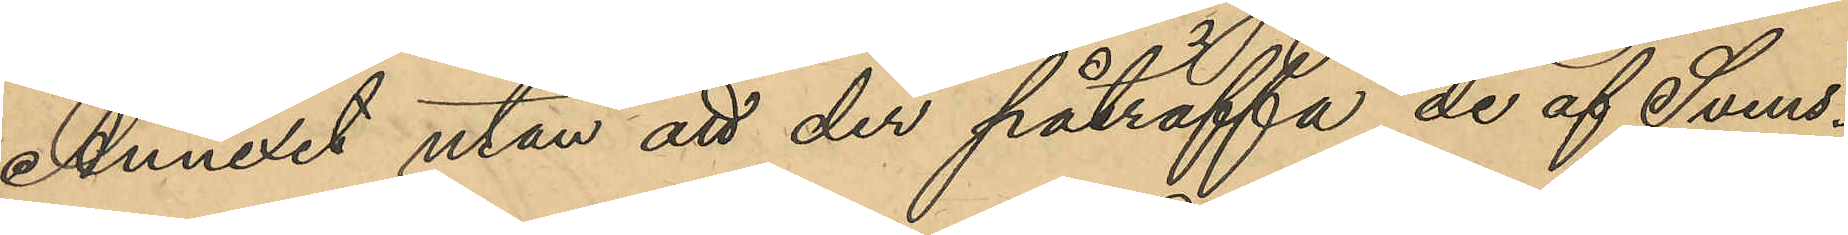Annexet utan att der påträffa de af Svens¬
